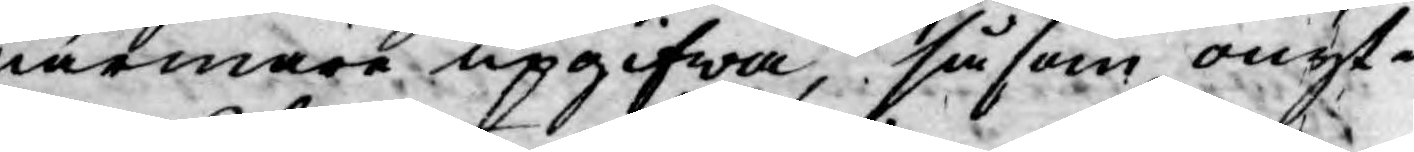närmare upgifwa, såsom onyt¬
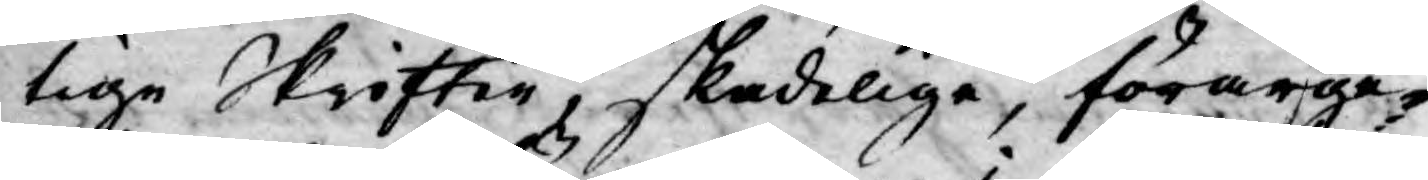tige Skrifter, skadelige, förarge¬
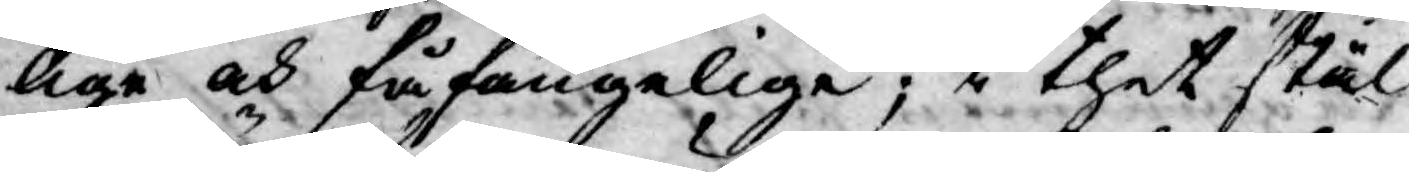lige och fåfängelige; i thet stäl¬
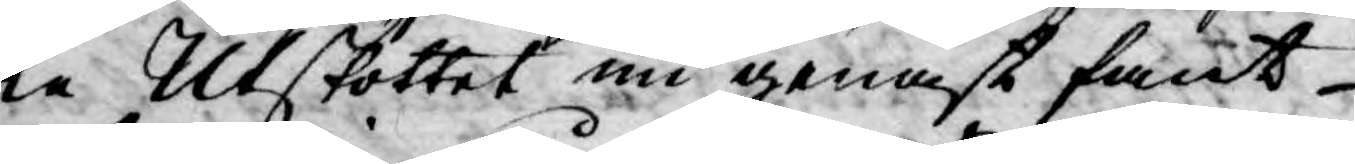le Utskottet nu genast fant
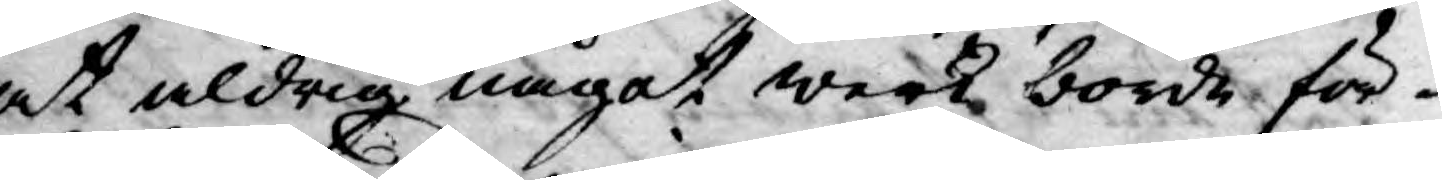at aldrig något werk borde, för¬
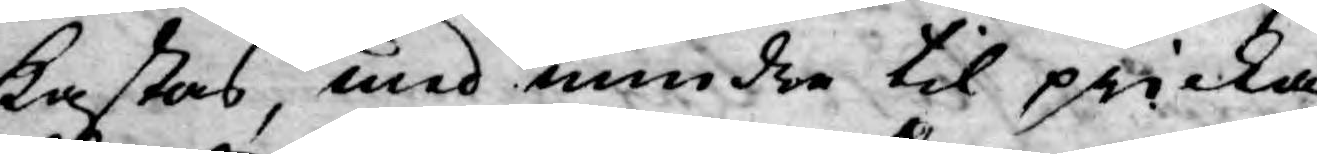kastas, med mindre til pricka
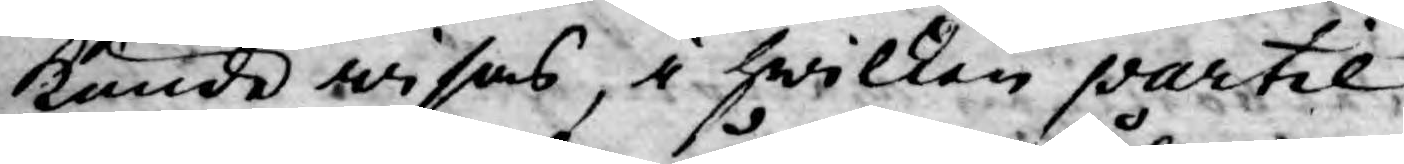kunde wisas, i hwilken partie
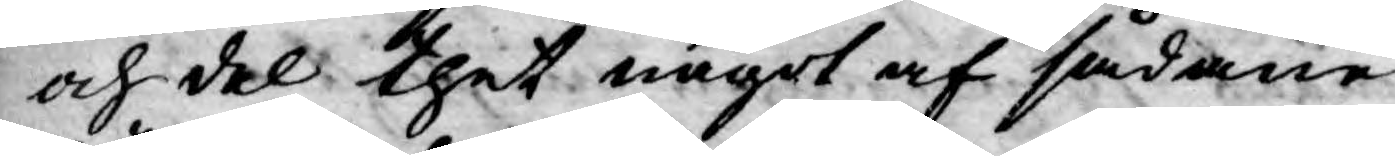och del thet något af sådane
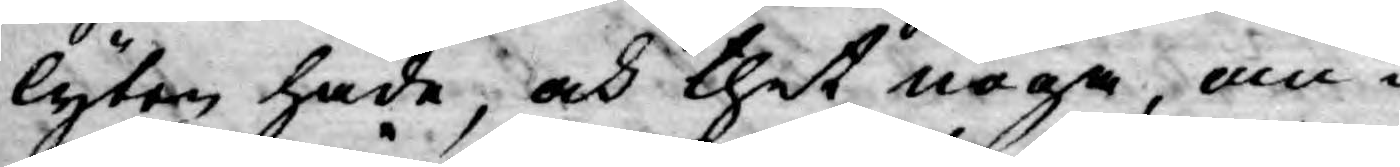lyten hade, och thet noga, an¬
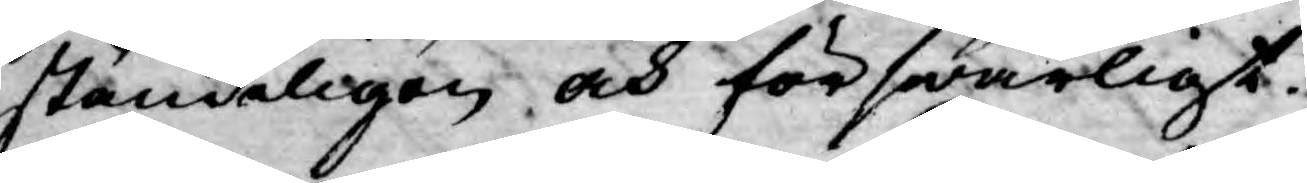ständeligen och förswarligt.
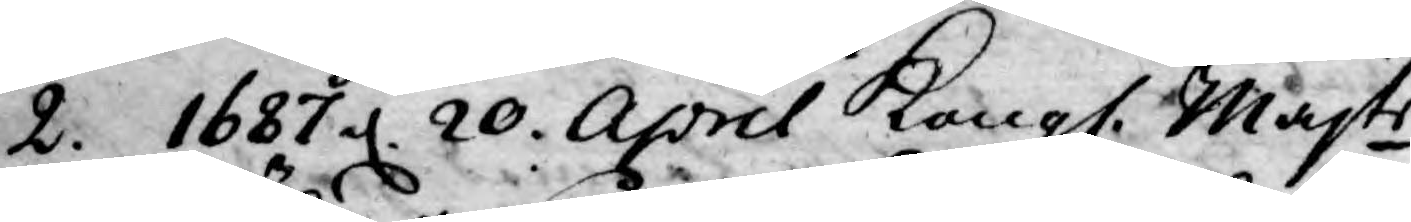2. 1687 d. 20. April Kongl. Majts
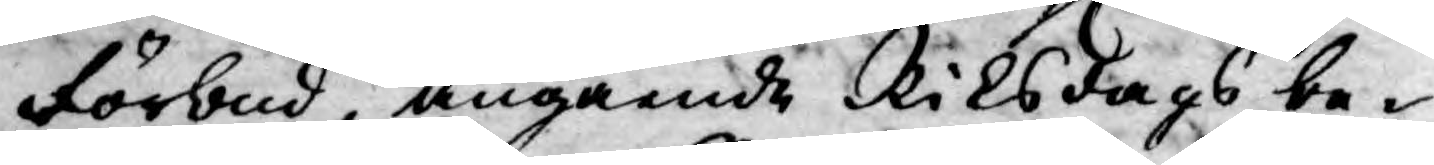Förbud, angående Riksdags be¬
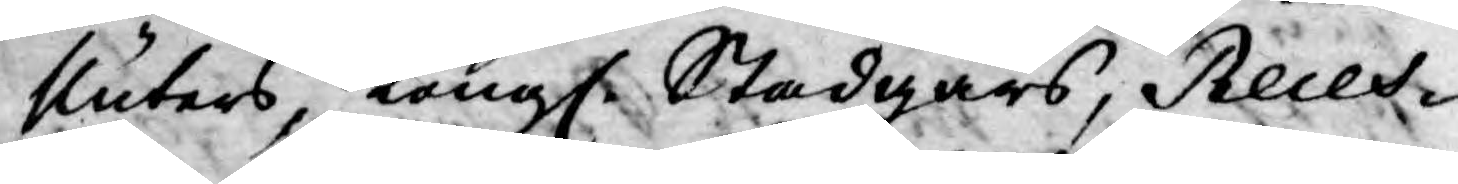sluters, Kongl. Stadgars, Reces¬
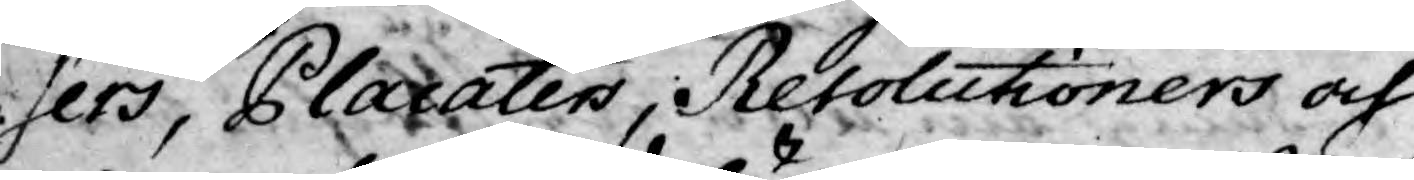sers, Placaters, Resolutioners och
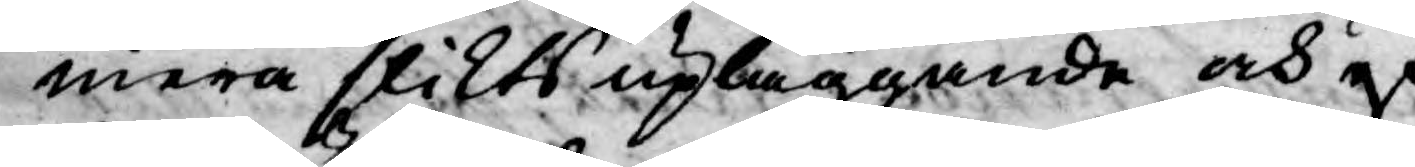mera slikts upläggande och ef¬
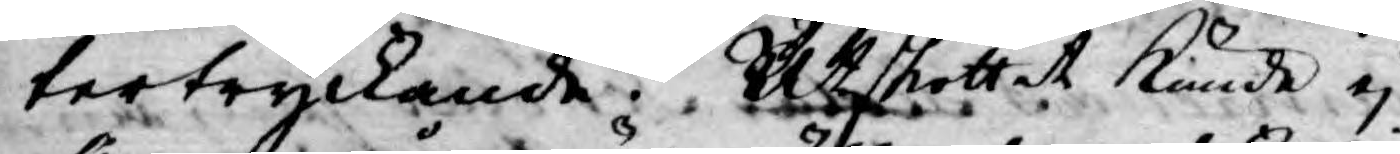tertryckande. Utskottet kunde ej
